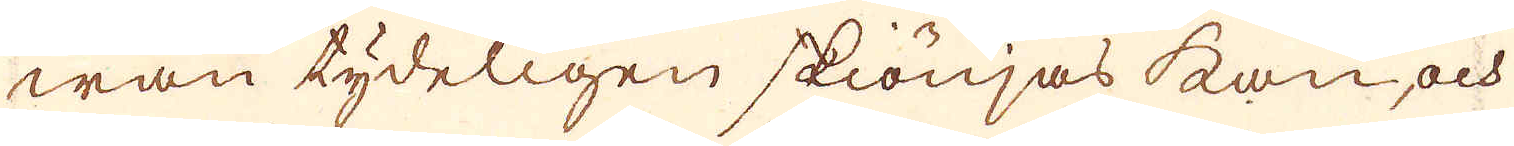wan tydeligen skiönjas kan, och
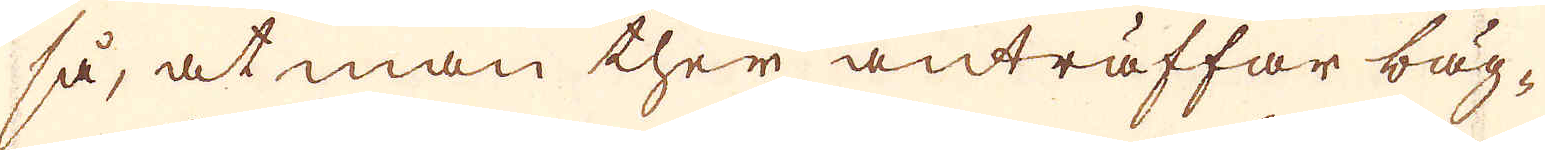så, at man ther anträffar bäg-
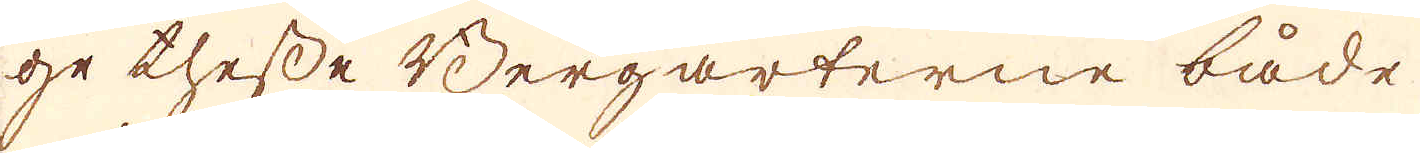ge thesse Bergarterne både
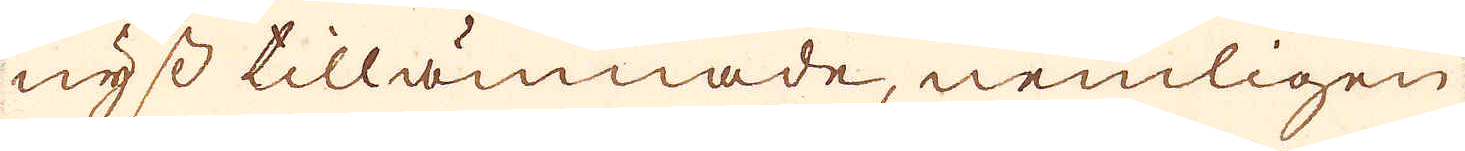nyss tillämnade, nemligen
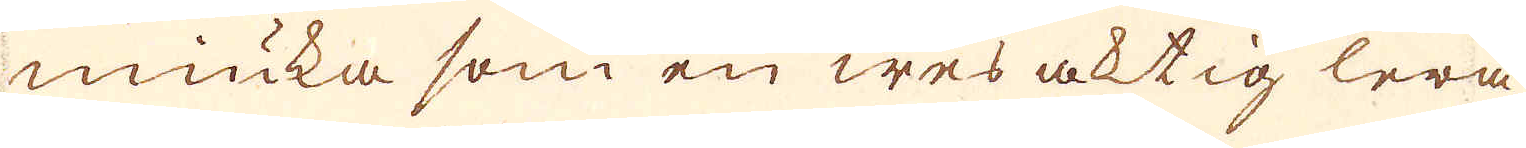miuka som en wes aktig lera,
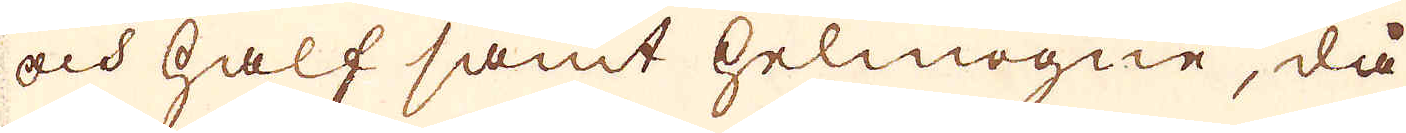och half samt helmogne, då
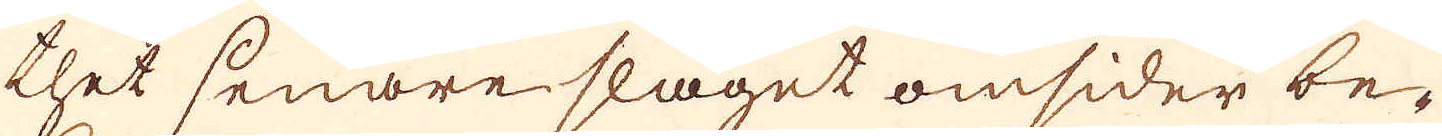thet senare slaget omsider be-
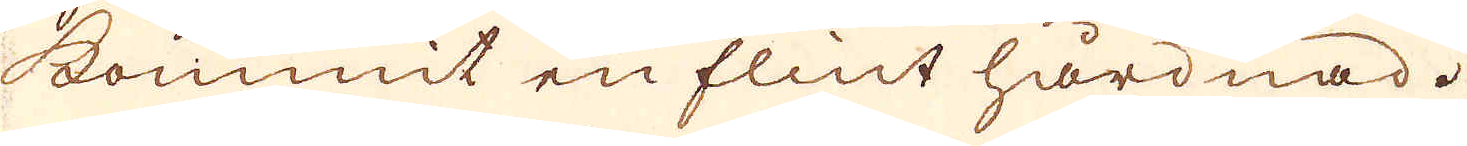kommit en flint hårdnad.
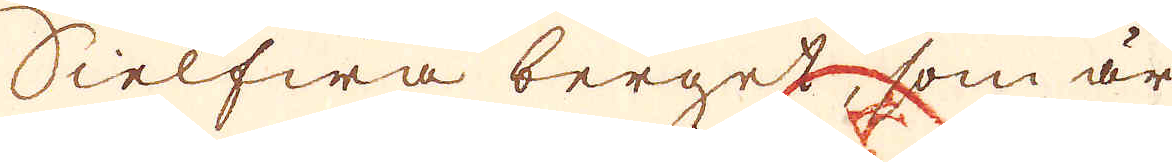Sielfwa berget, som är
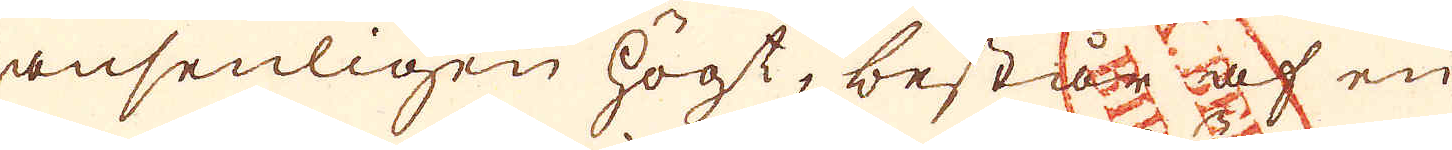ansenligen högt, består af en
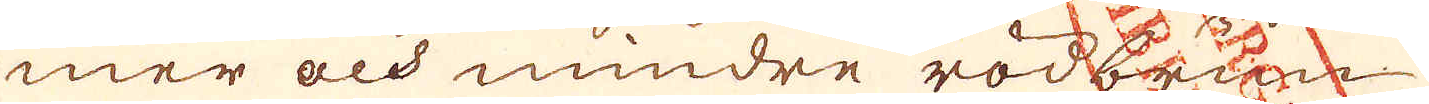mer och mindre rödbrun
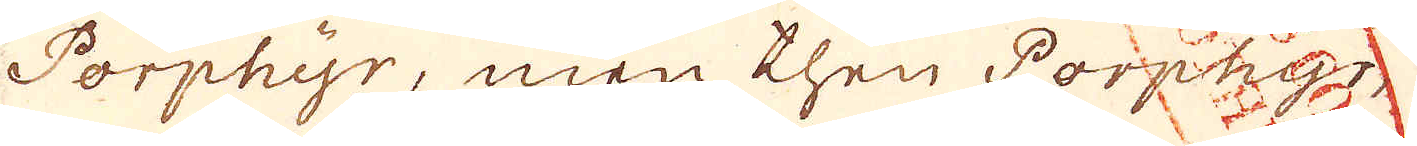Porphyr, men then Porphyr
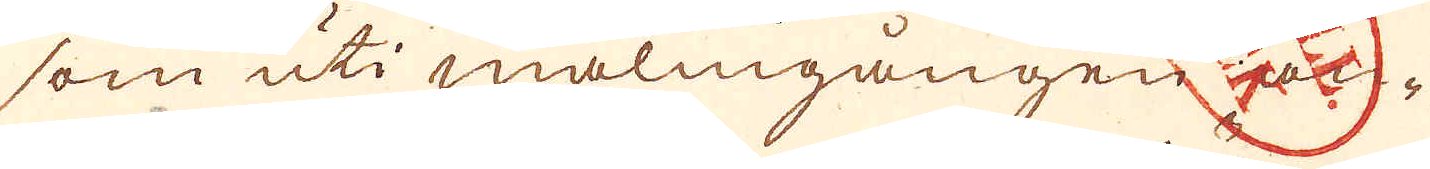som uti malmgången an-
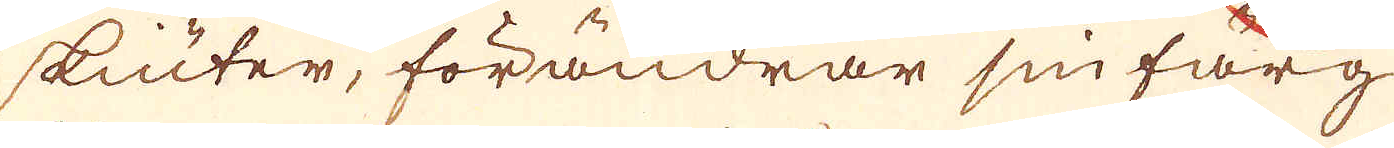skiuter, förändrar sin färg
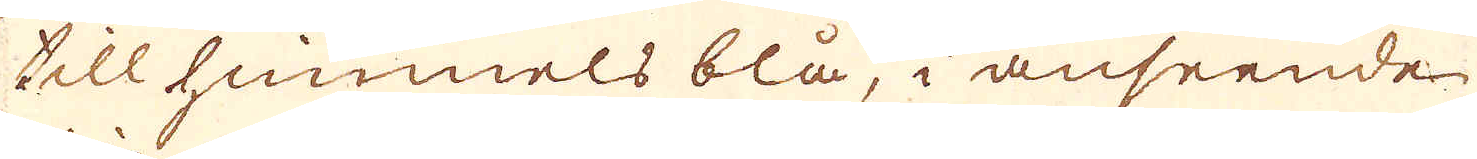till himmels blå, i anseende
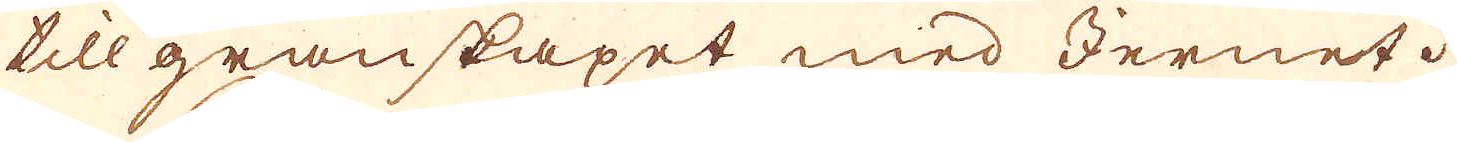till granskapet med Jernet.
